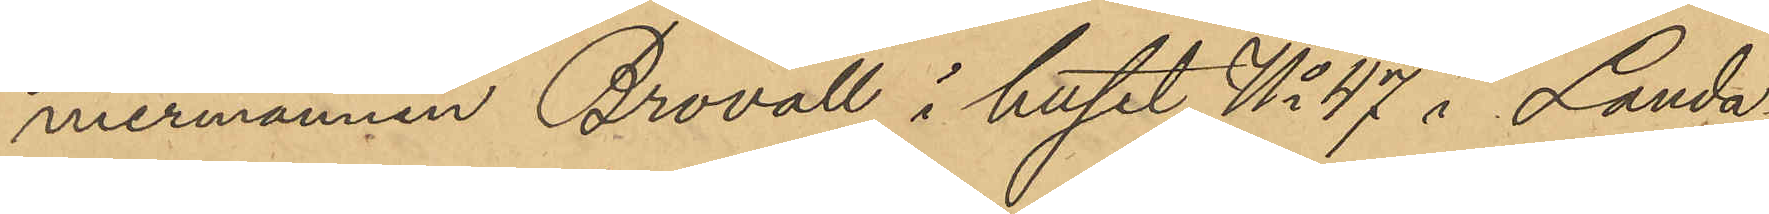mermannen Brovall i huset No 47 i Landa¬
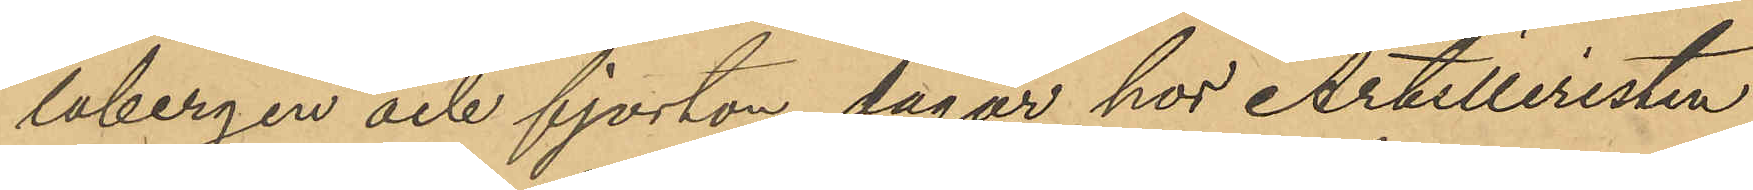labergen och fjorton dagar hos Artilleristen
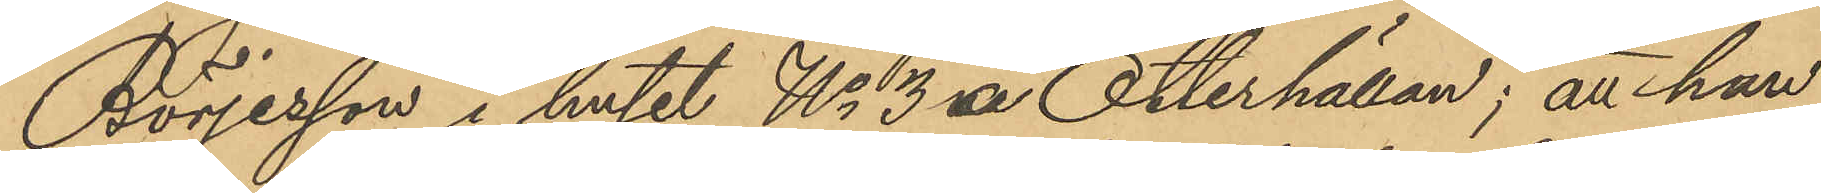Börjesson i huset No 3 va Otterhällan; att han
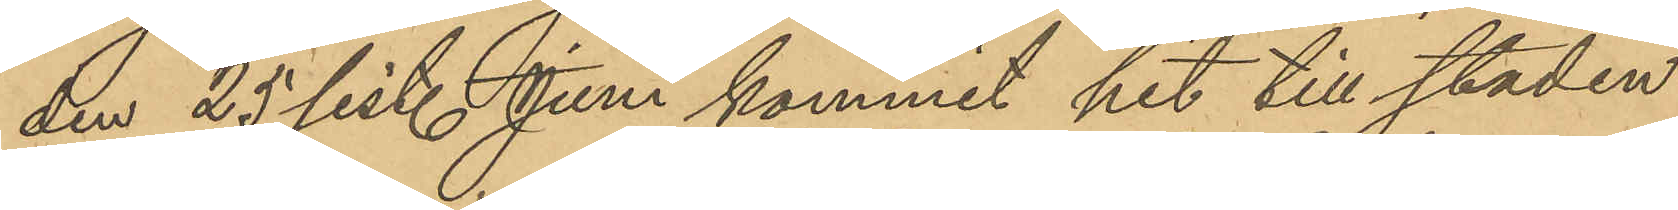den 25 sist. Juni kommit hit till staden
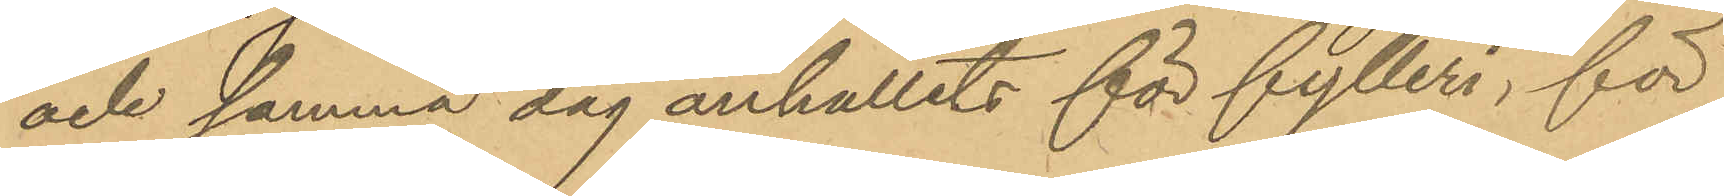och samma dag anhållits för fylleri, för
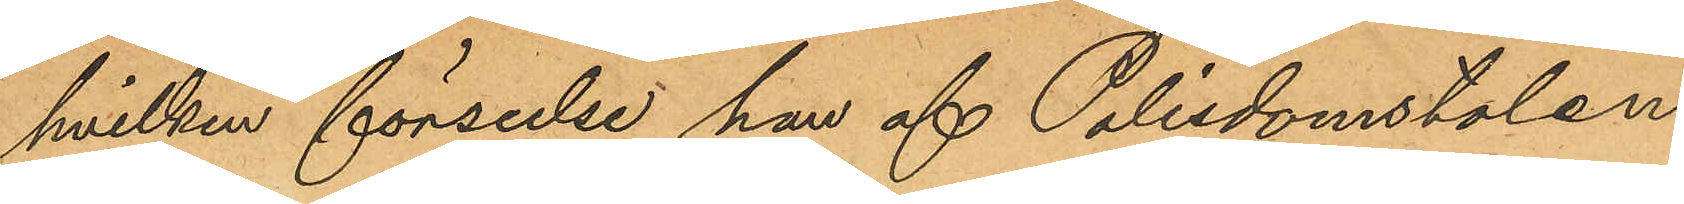hvilken förseelse han af Polisdomstolen
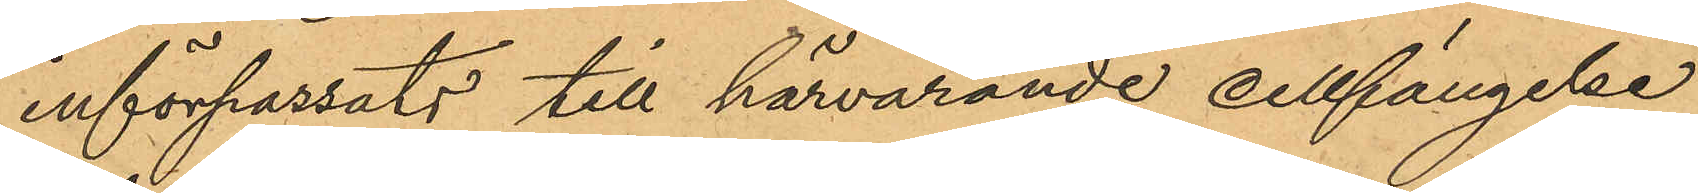införpassats till härvarande cellfängelse
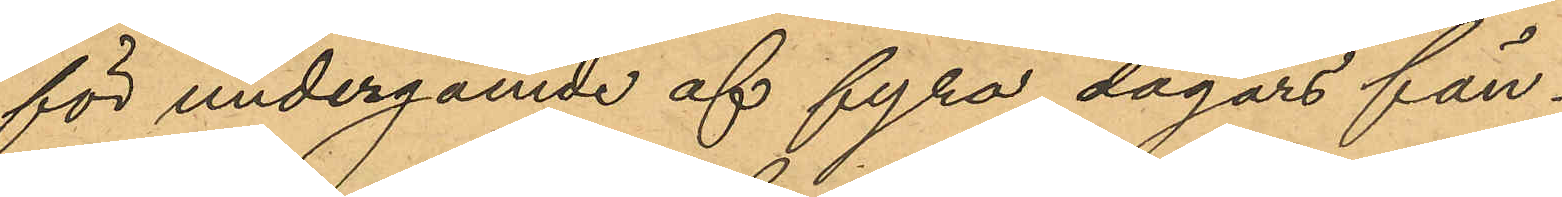för undergående af fyra dagars fän¬
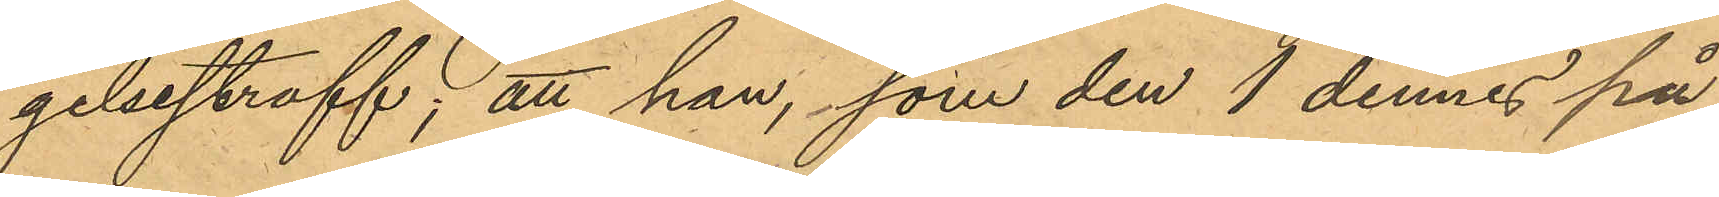gelsestraff; att han, som den 1 dennes på
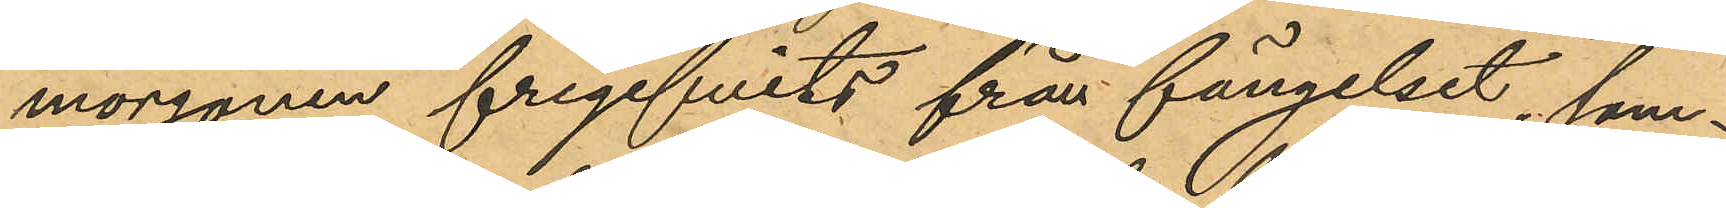morgonen frigifvits från fängelset, sam¬
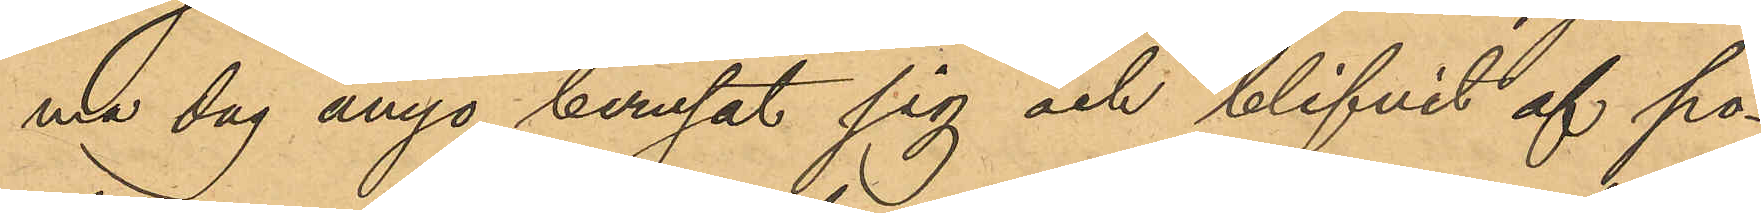ma dag ånyo berusat sig och blifvit af po¬
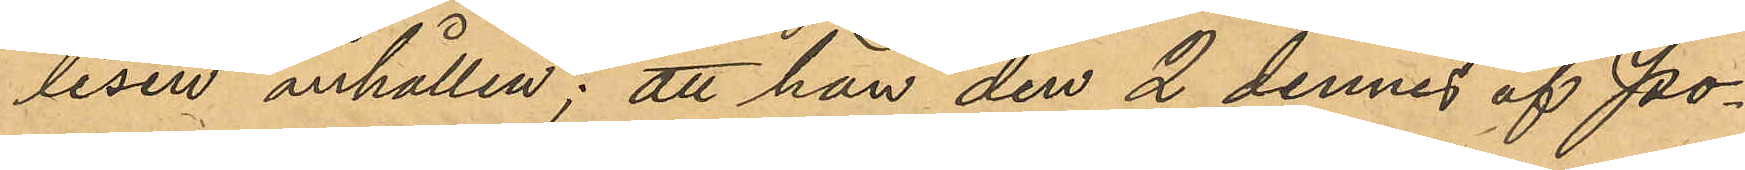lisen anhållen; att han den 2 dennes af Po¬
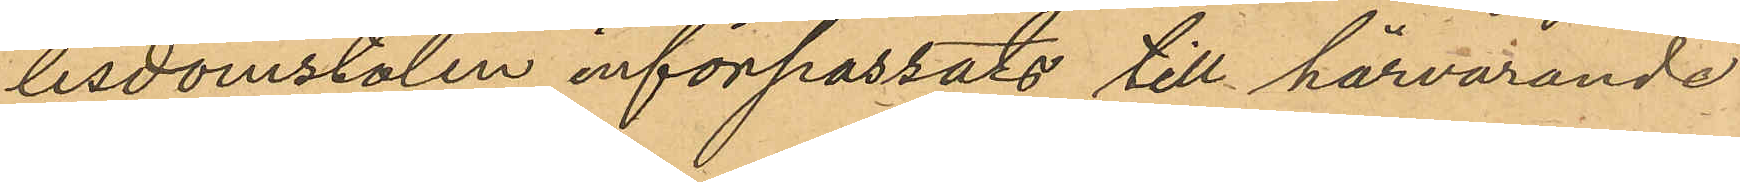lisdomstolen införpassats till härvarande
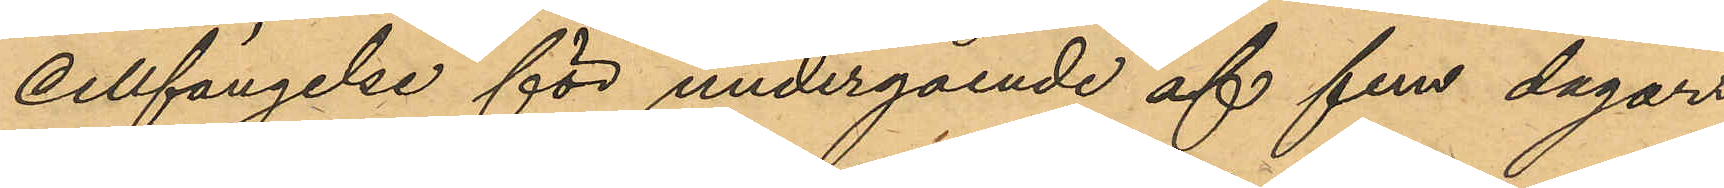cellfängelse för undergående af fem dagar
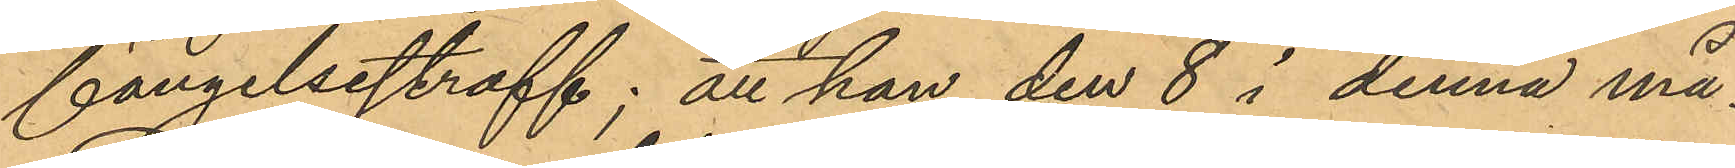fängelsestraff; att han den 8 i denna må¬
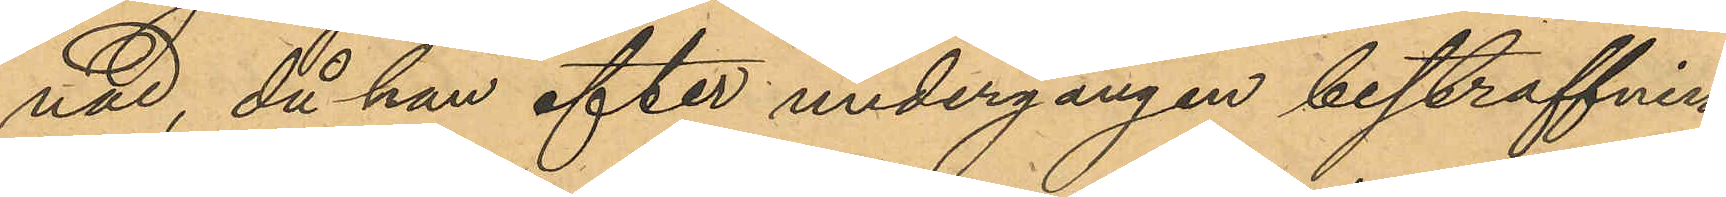nad, då han efter undergången bestraffning
